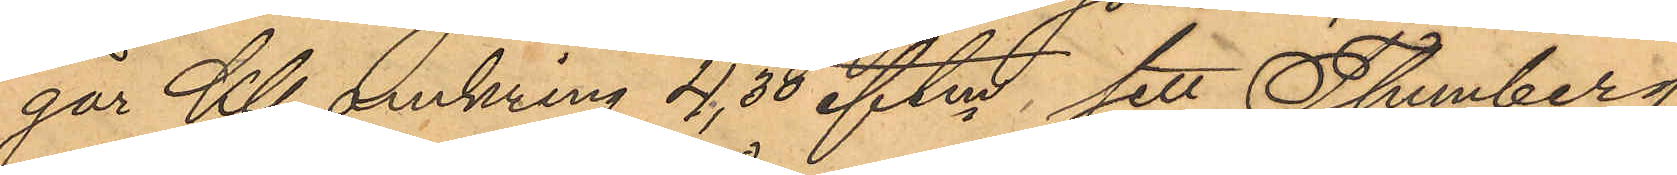går Kl. omkring 4,30 eftm, sett Thunberg
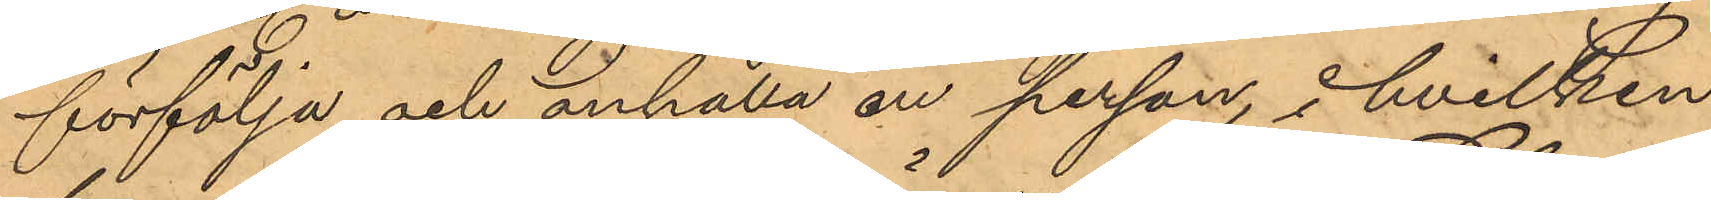förfölja och anhålla en person i hvilken
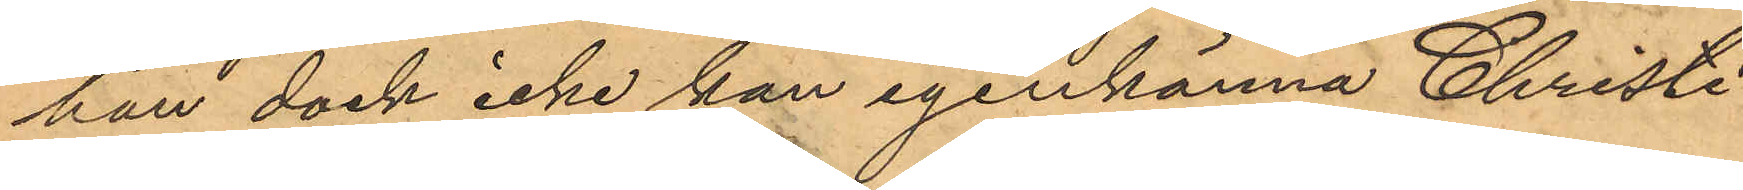han dock icke kan igenkänna Christi¬
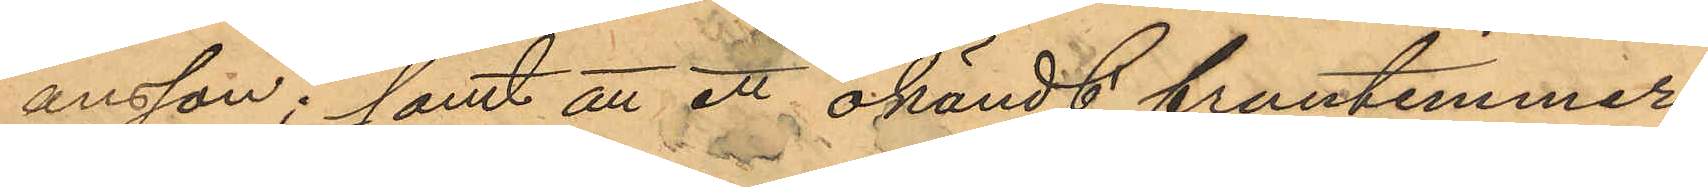ansson; samt att ett okändt fruntimmer
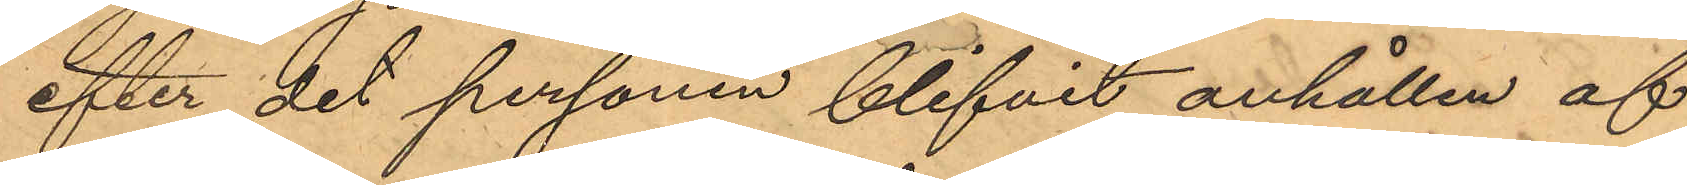efter det personen blifvit anhållen af
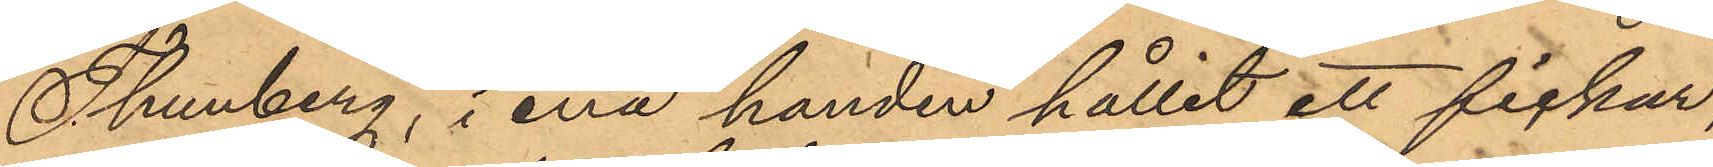Thunberg, i ena handen hållit ett fickur,
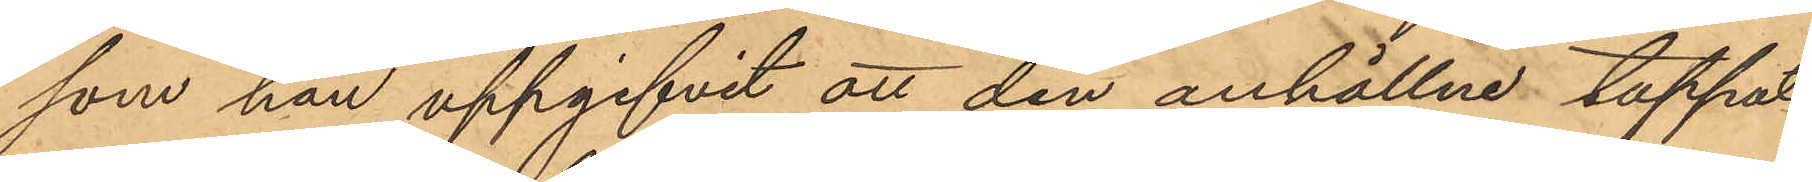som hon uppgifvit att den anhållne tappat.
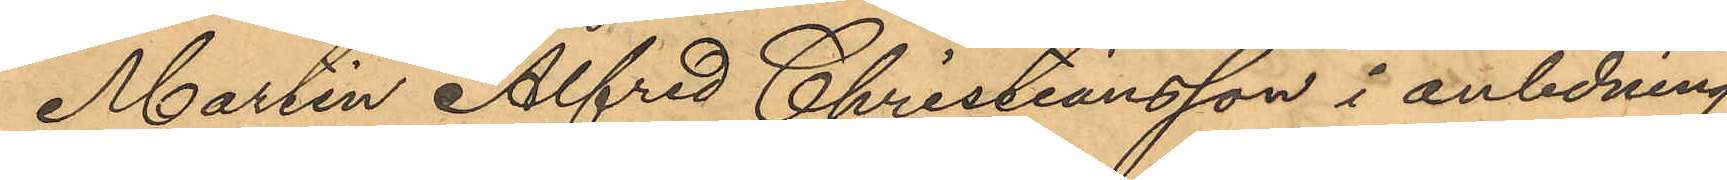Martin Alfred Christiansson i anledning
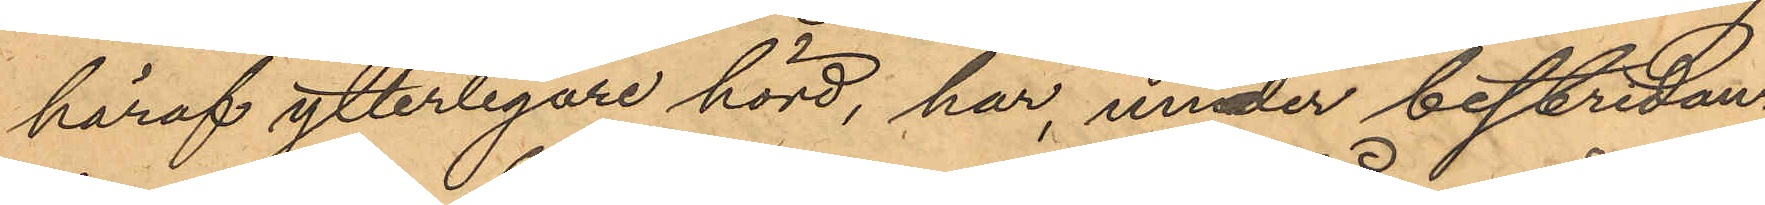häraf ytterligare hörd, har, under bestridan¬
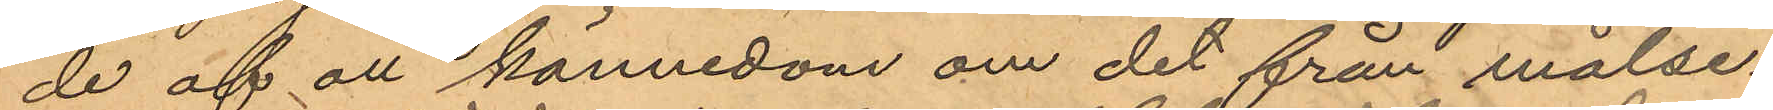de af all kännedom om det från målse¬
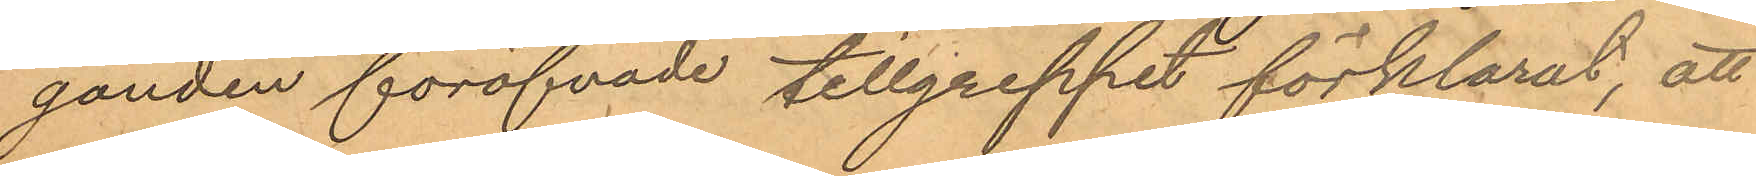ganden föröfvade tillgreppet förklarat, att
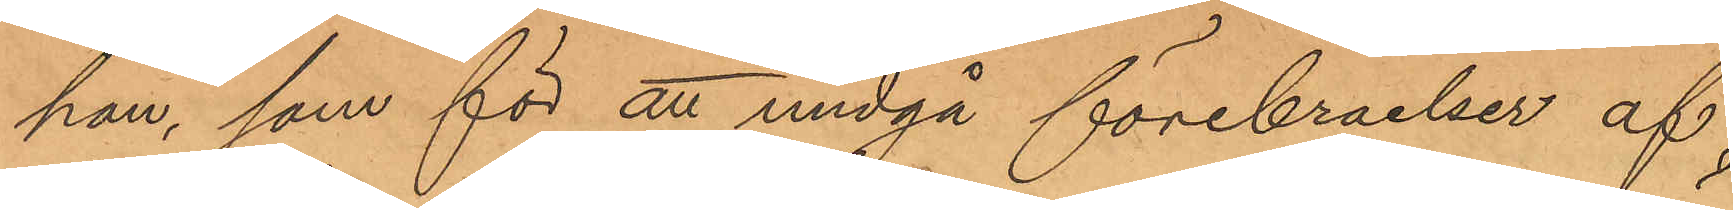han, som för att undgå förebråelser af
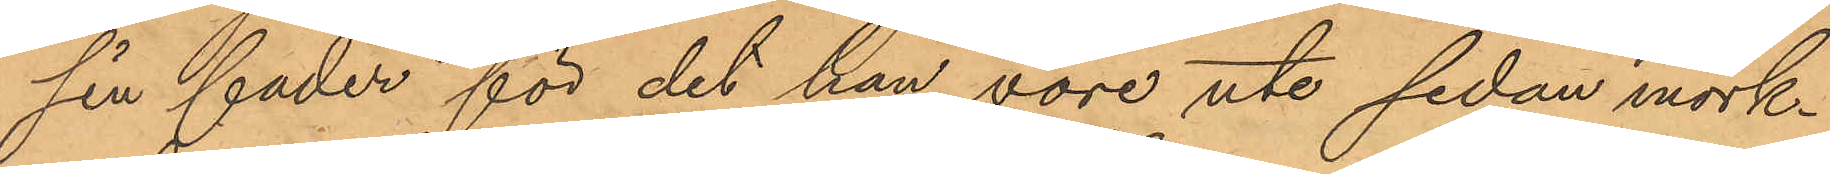sin fader för det han vore ute sedan mörk¬
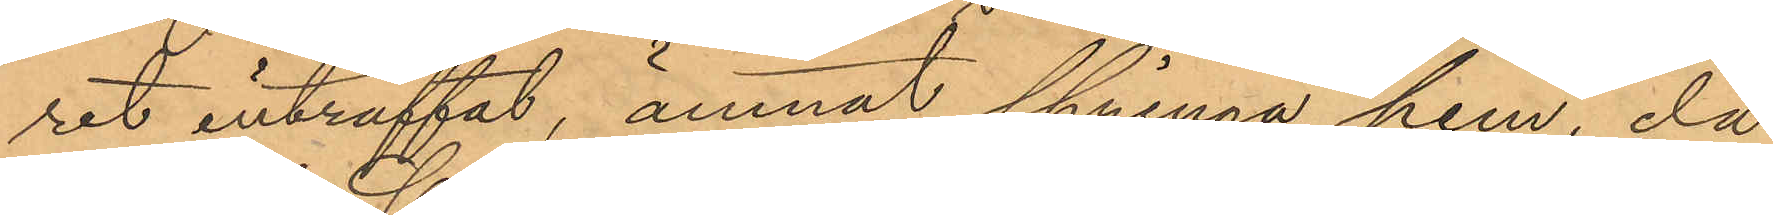ret inträffat, ämnat springa hem, då
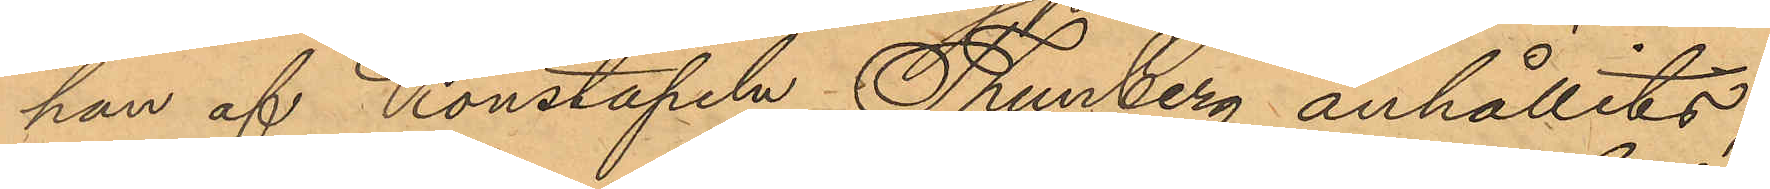han af Konstapeln Thunberg anhållits;
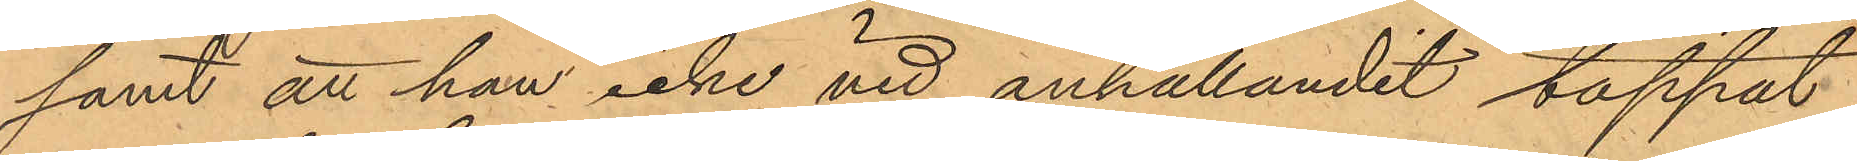samt att han icke vid anhållandet tappat
